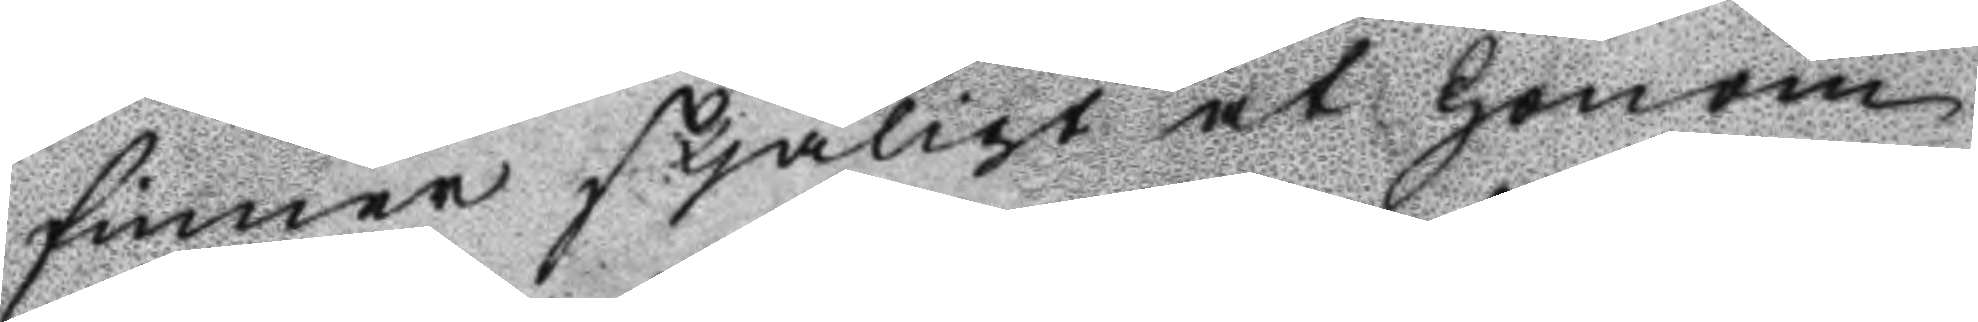finner skjäligt at honom
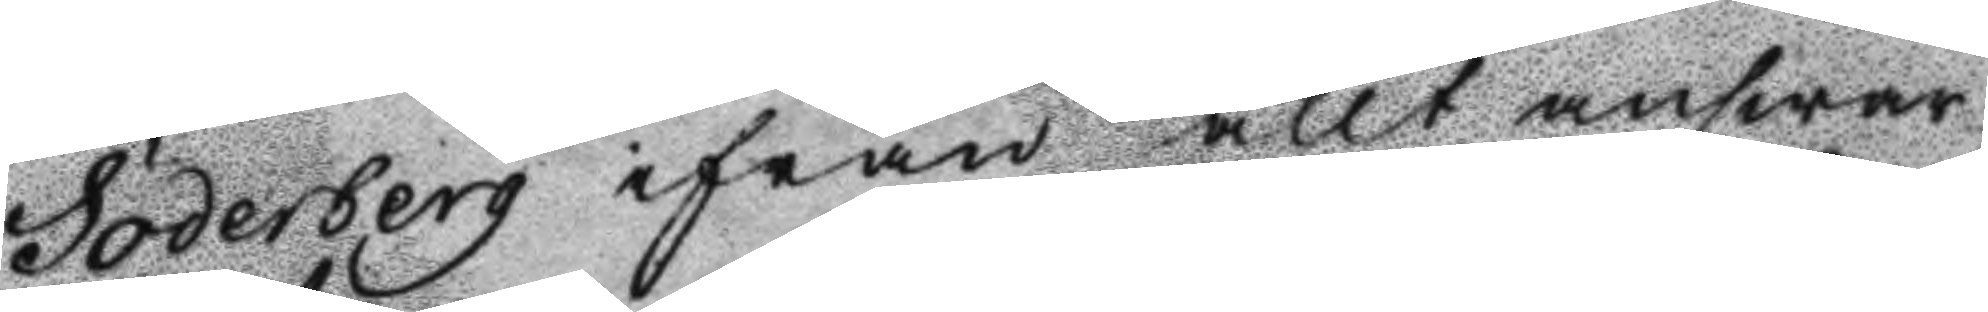Söderberg ifrån allt answar
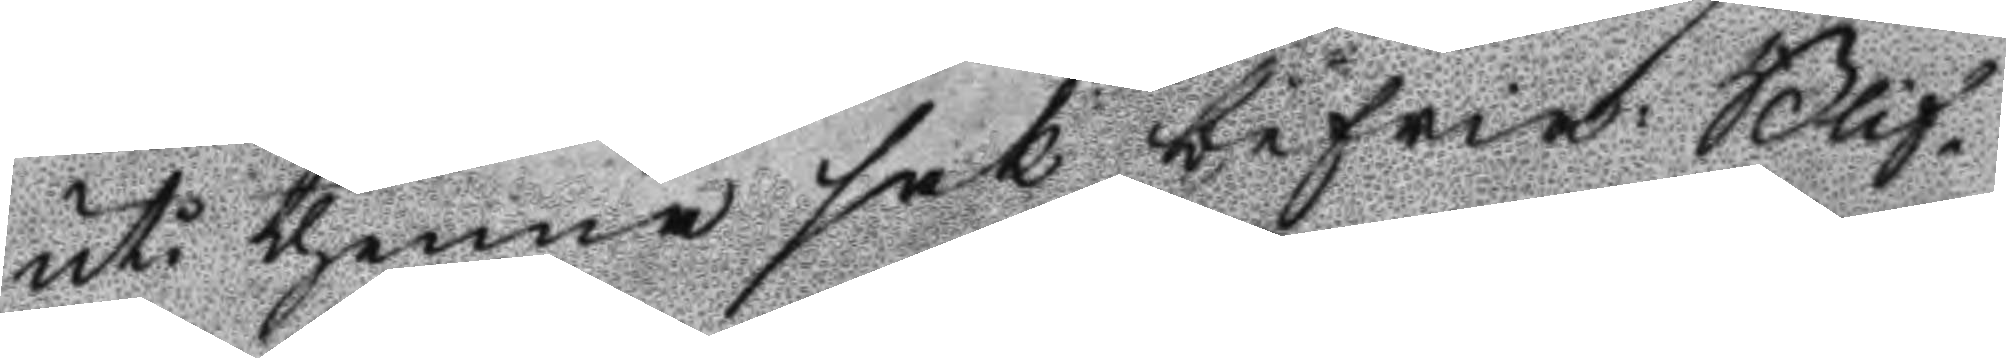uti thenna sak befria: Blif¬
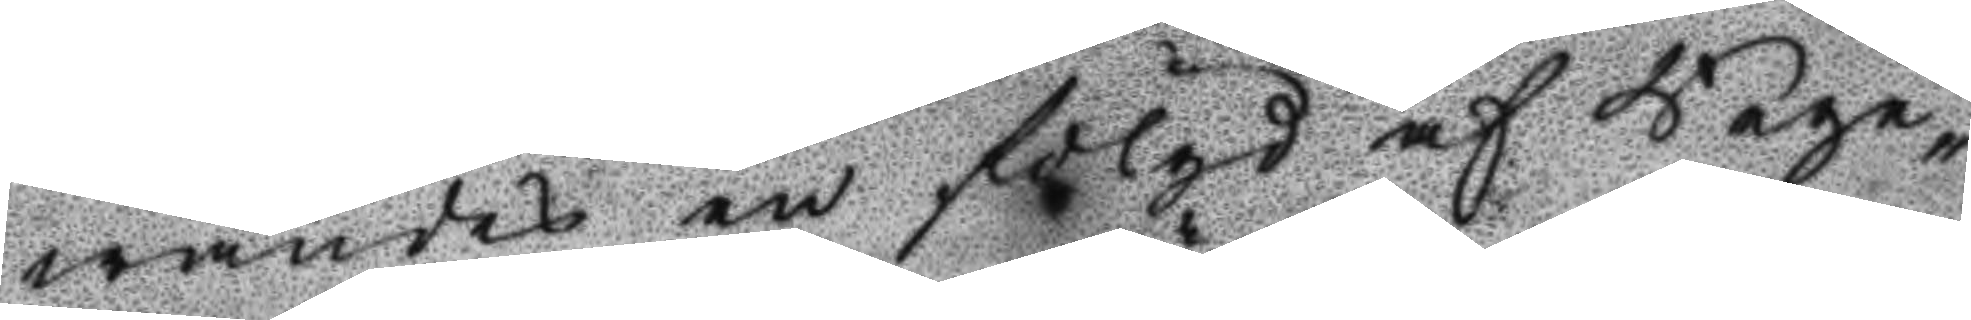wandes en fölgd af Rege¬
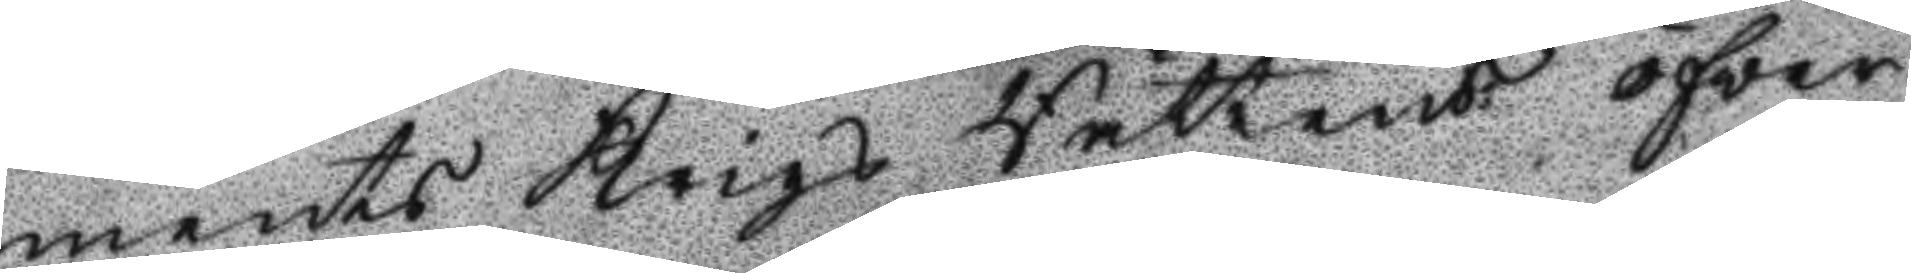ments Krigs Rättens öfwer
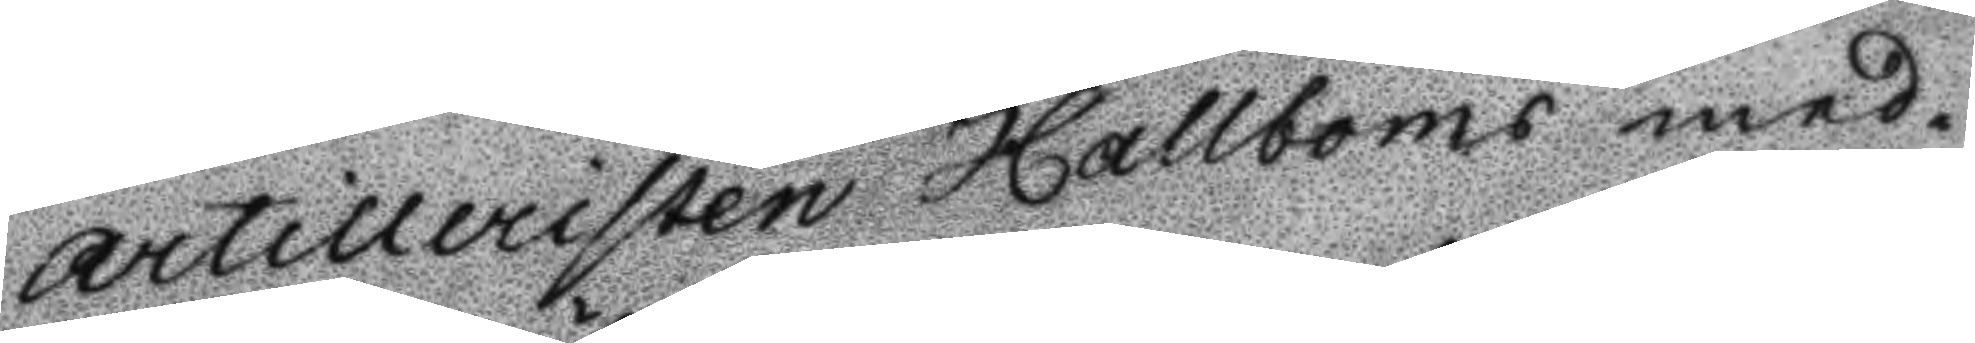artilleristen Hallboms med¬
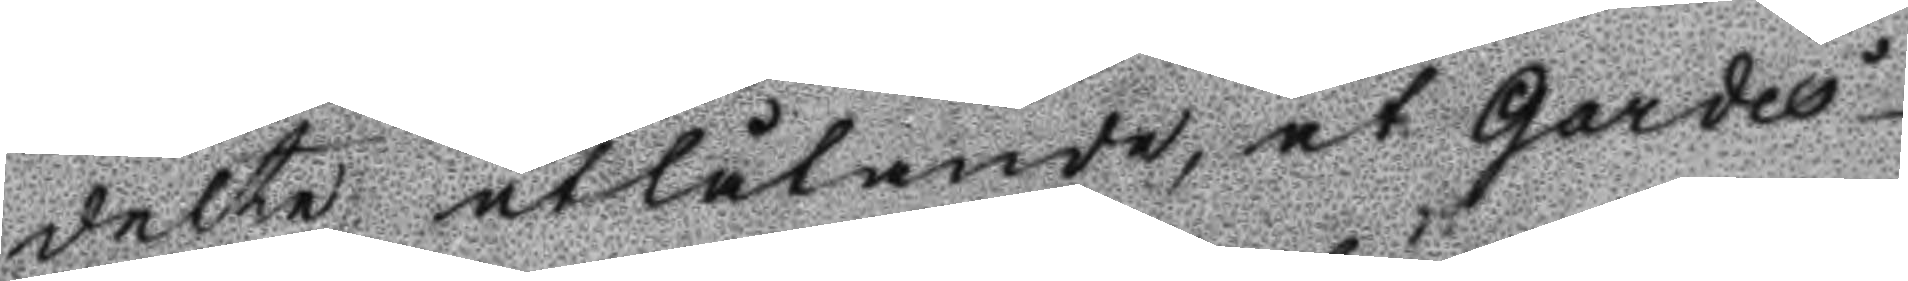delte utlåtande, at Gardes¬
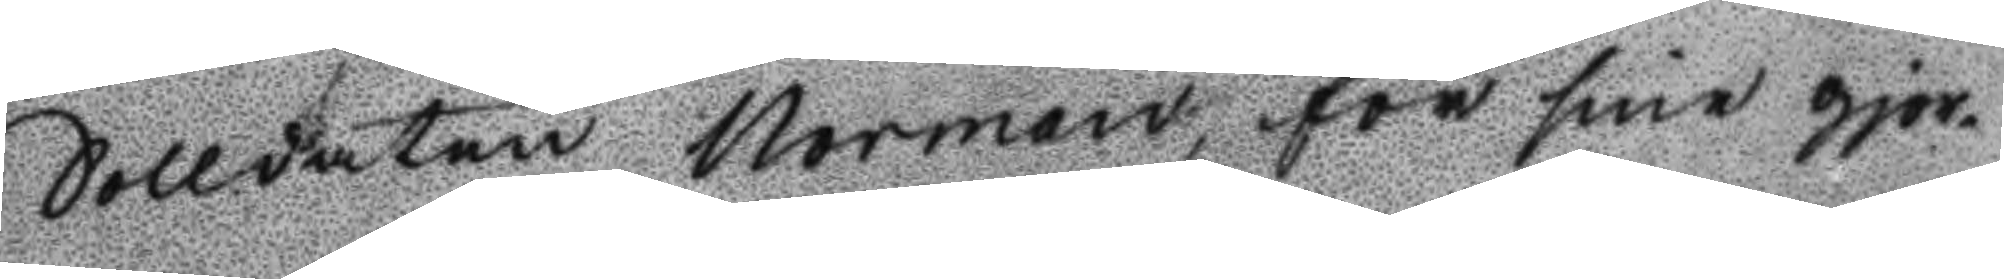Solldaten Norman, för sine gjor¬
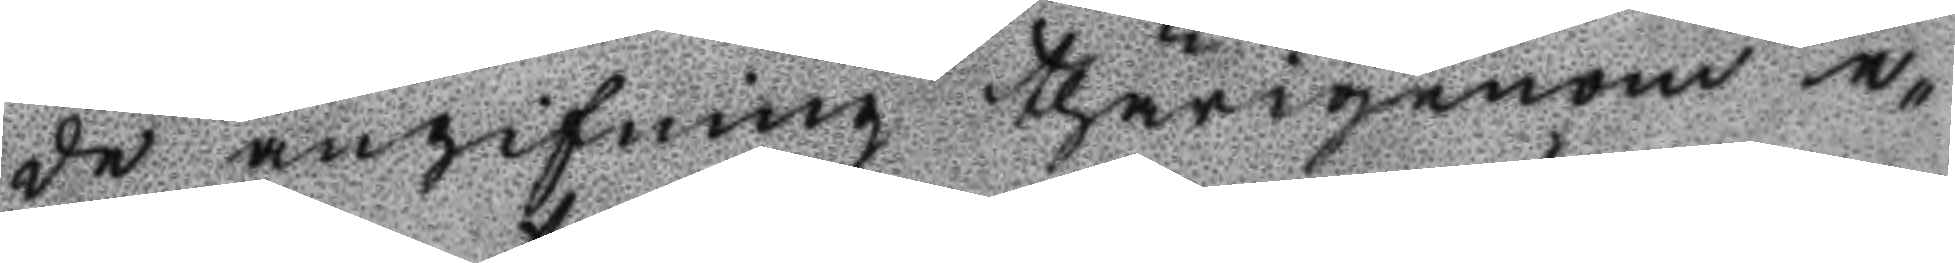de angifning thärigenom e¬
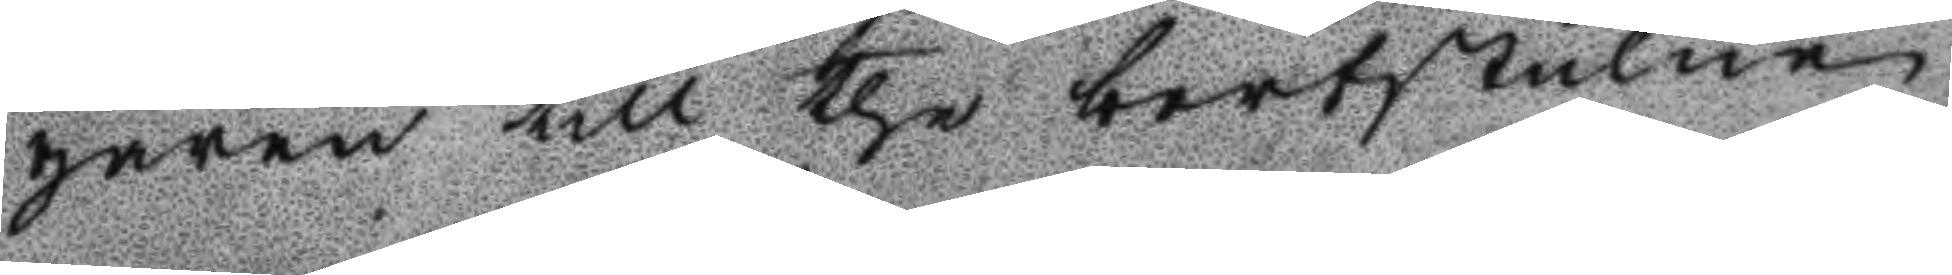garen till the bortstulne
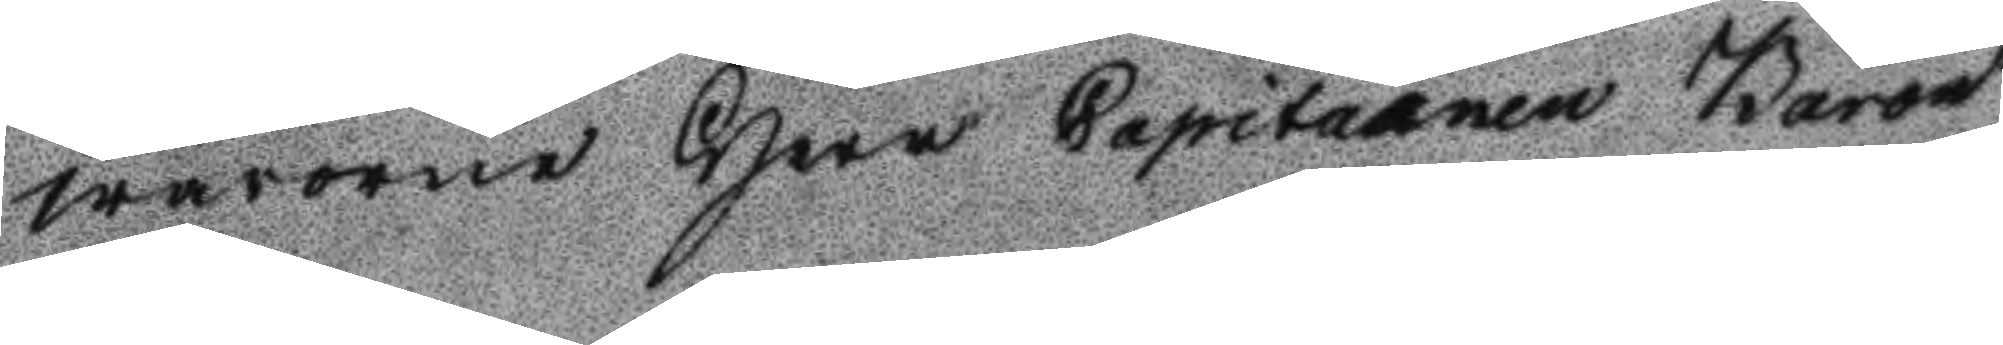warorne Herr Capitainen Baron
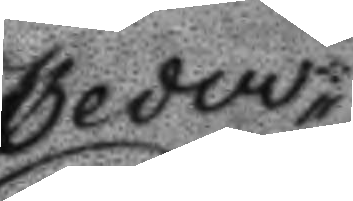Ceder¬
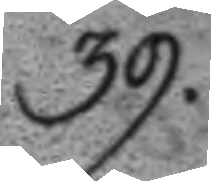39.
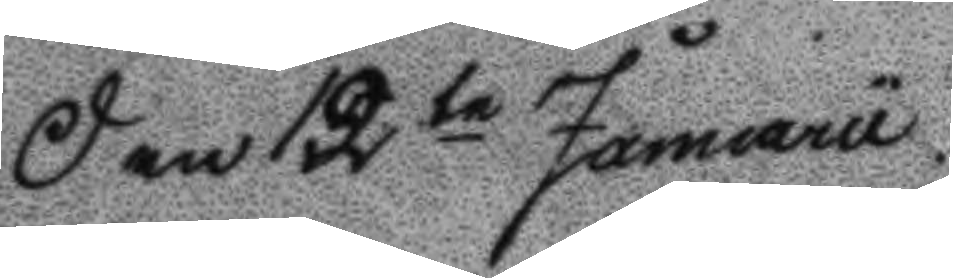Den 12te Januarii
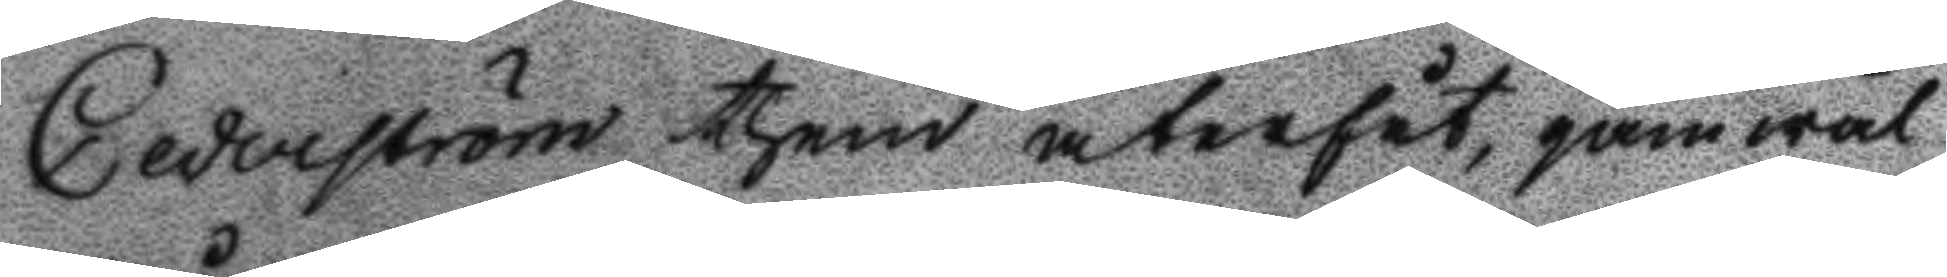Cederström them återfåt, gämwäl
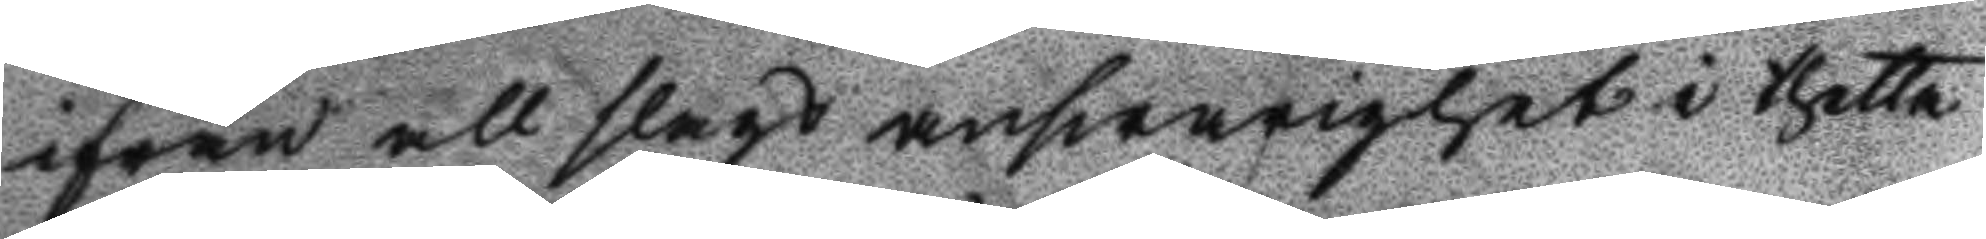ifrån all slags answarighet i thetta
